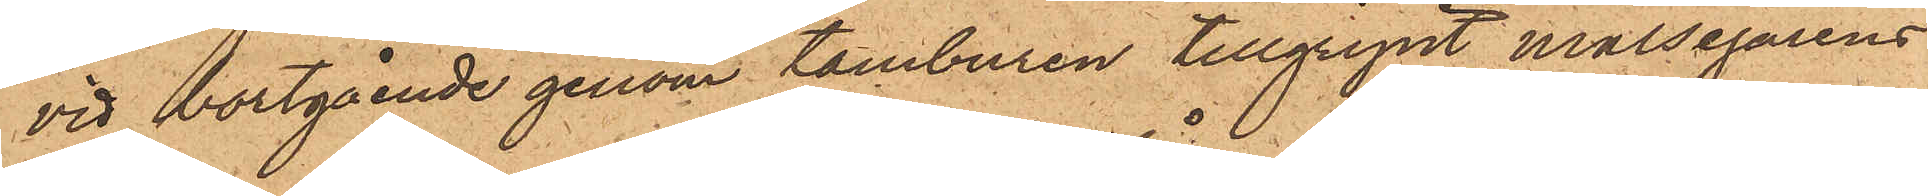vid bortgående genom tamburen tillgripit målsegarens
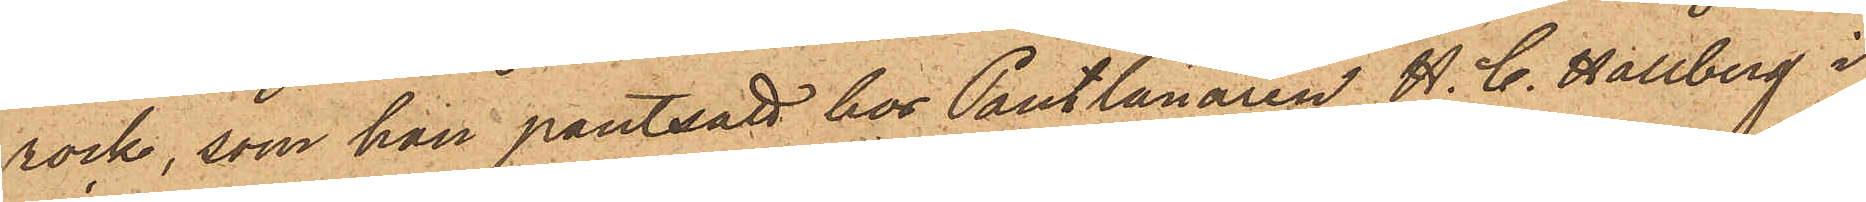rock, som han pantsatt hos Pantlånaren H. C. Hallberg i
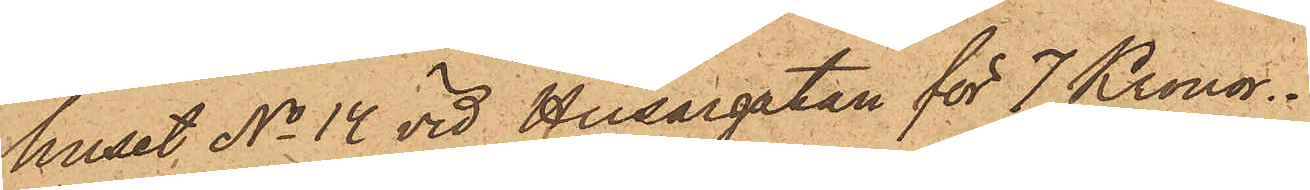huset No 14 vid Husargatan för 7 Kronor.
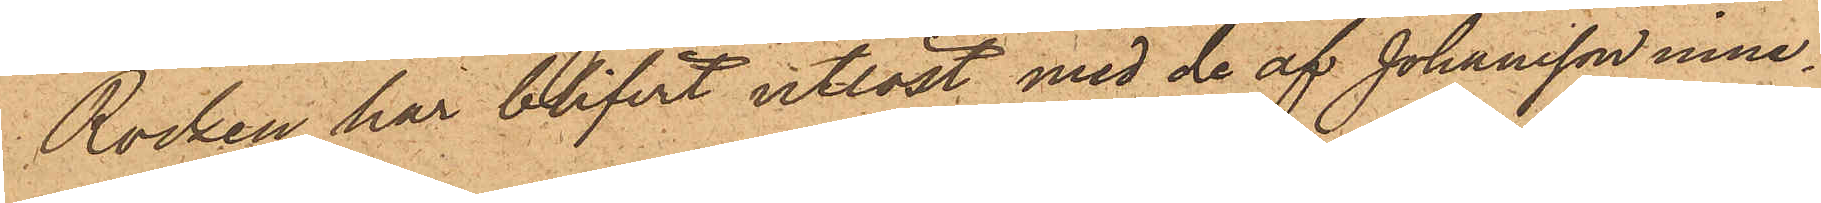Rocken har blifvit utlöst med de af Johansson inne¬
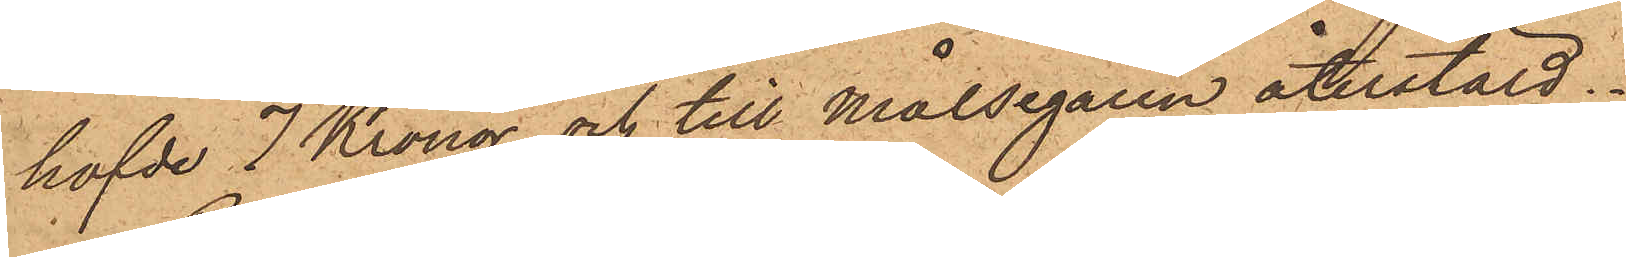hafde 7 Kronor och till Målsegaren återstäld.
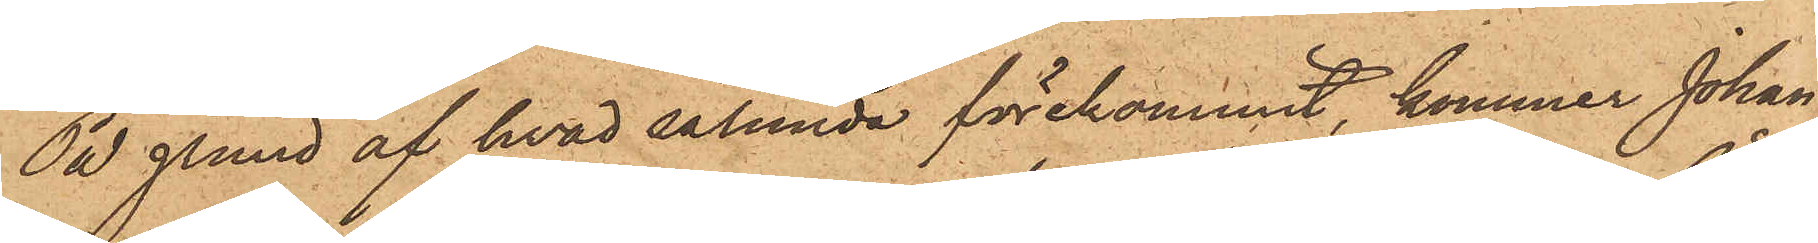På grund af hvad sålunda förekommit, kommer Johan
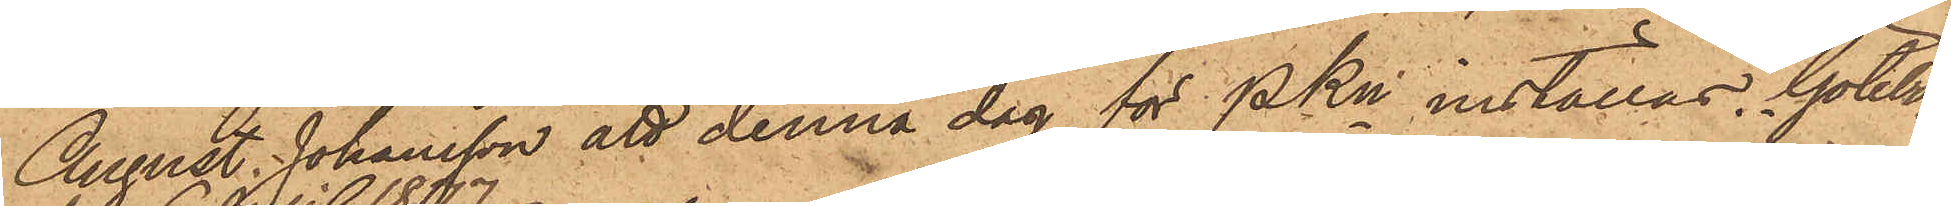August Johansson att denna dag för PKn inställas. Göteborg
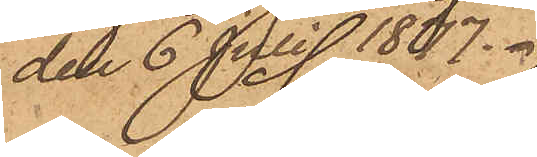den 6 Juli 1877.
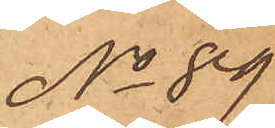No 89
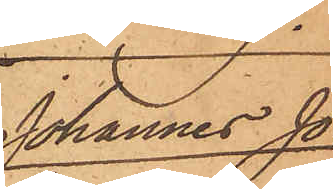Johannes Jo¬
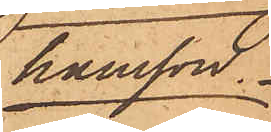hansson.
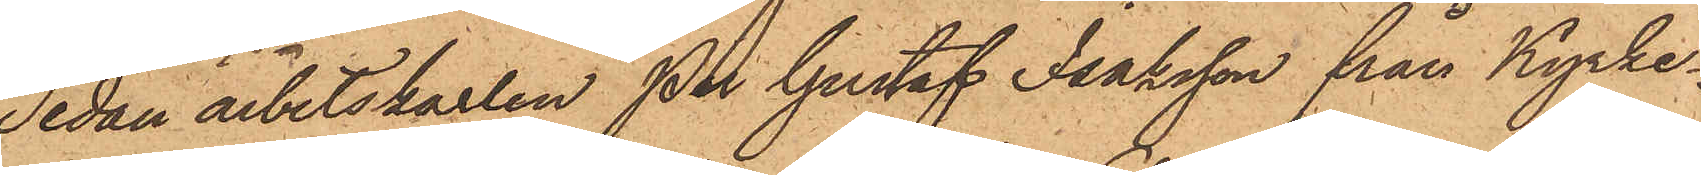Sedan arbetskarlen Per Gustaf Isaksson från Kyrke¬
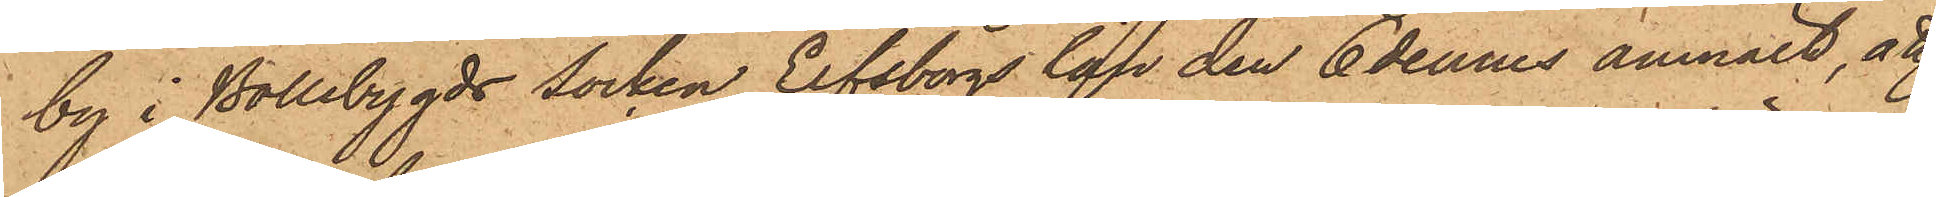by i Bollebygds socken Elfsborgs län den 6 dennes anmält, att
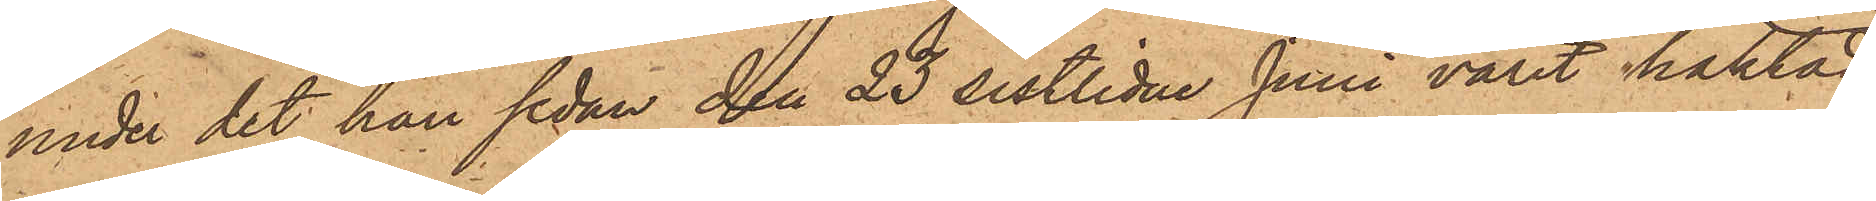under det han sedan den 23 sistlidne Juni varit häktad
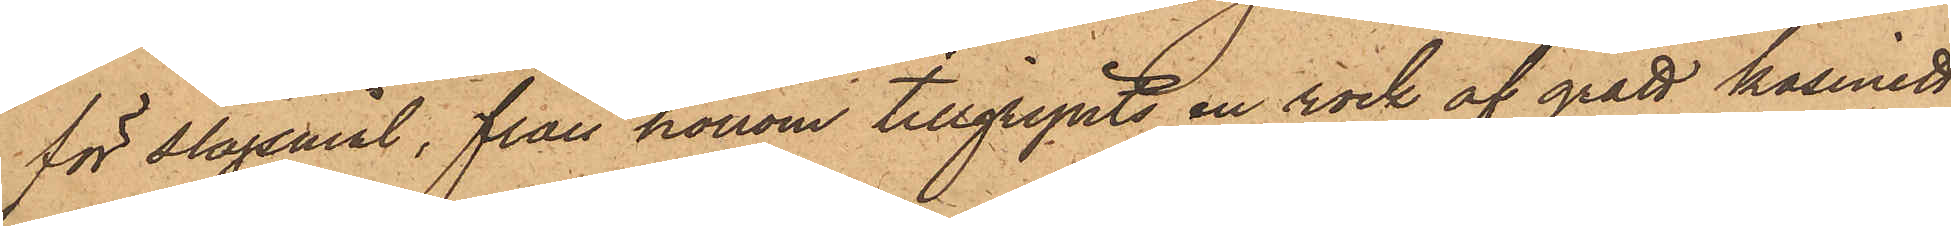för slagsmål, från honom tillgripits en rock af grått kasinett
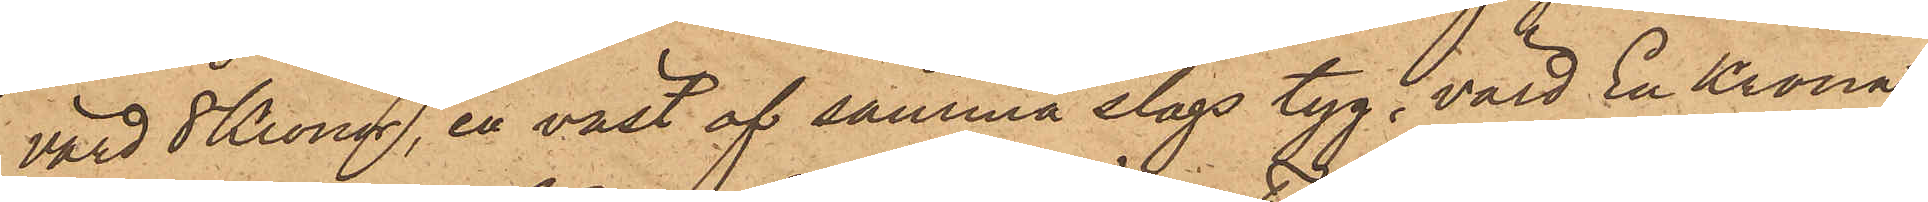värd 8 Kronor, en väst af samma slags tyg, värd En Krona,
